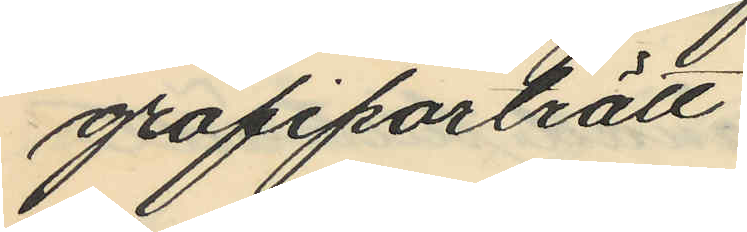grafiporträtt
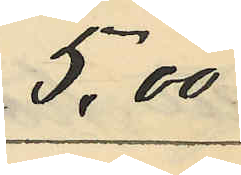5:00
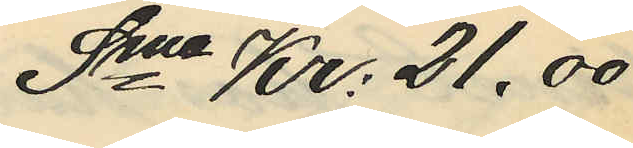Sma Kr: 21,00
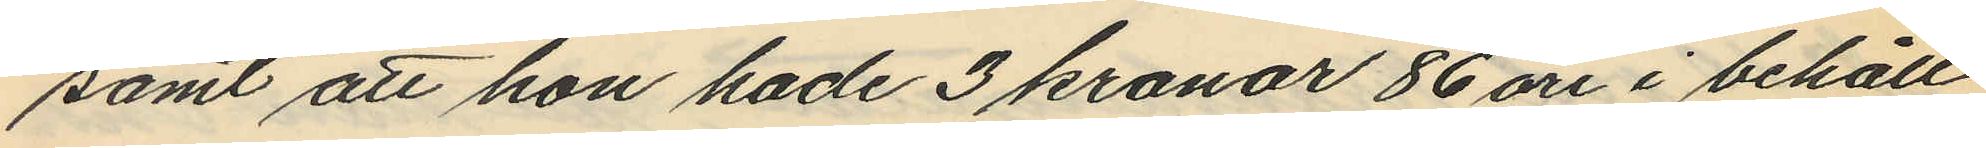samt att hon hade 3 kronor 86 öre i behåll
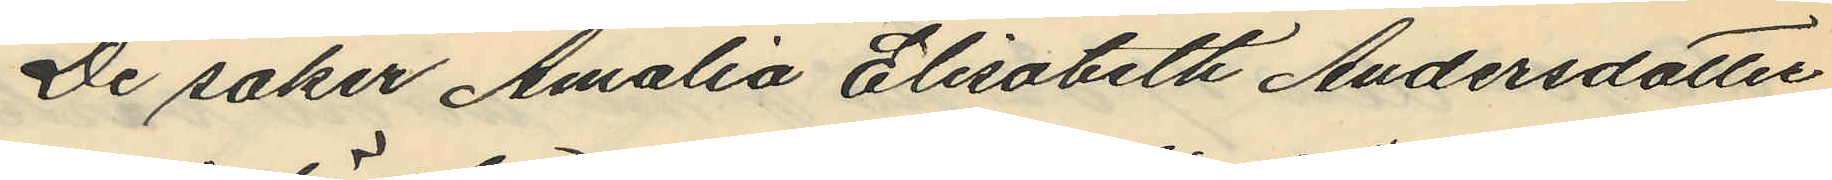De saker Amalia Elisabeth Andersdotter
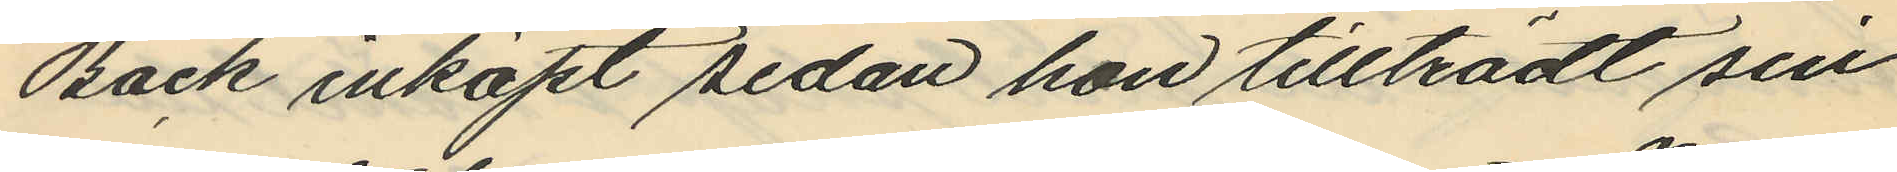Back inköpt sedan hon tillträdt sin
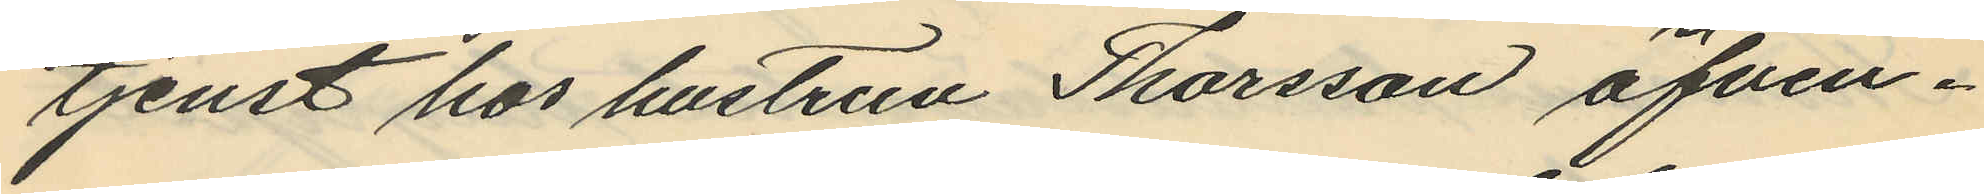tjenst hos hustrun Thorsson äfven¬
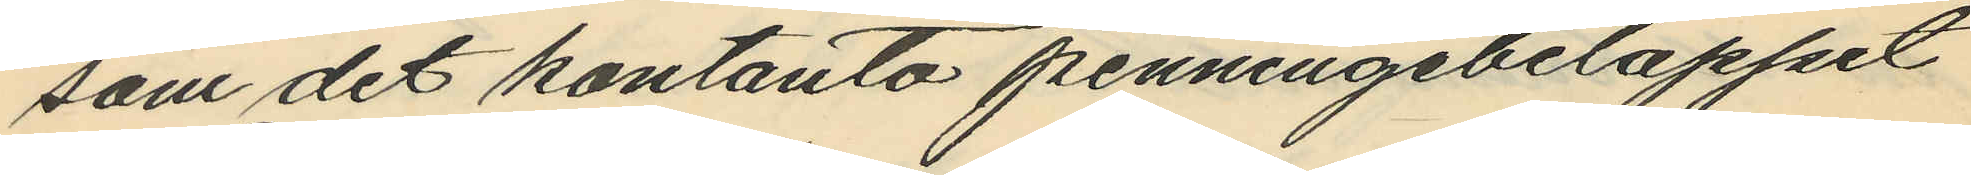som det kontanta penningebeloppet
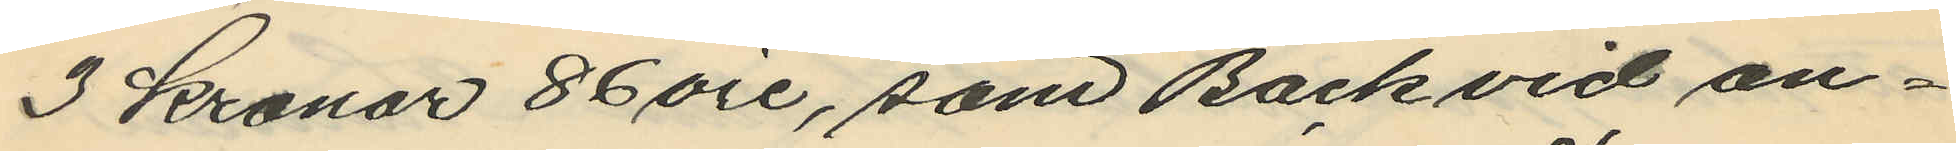3 Kronor 86 öre, som Back vid an¬
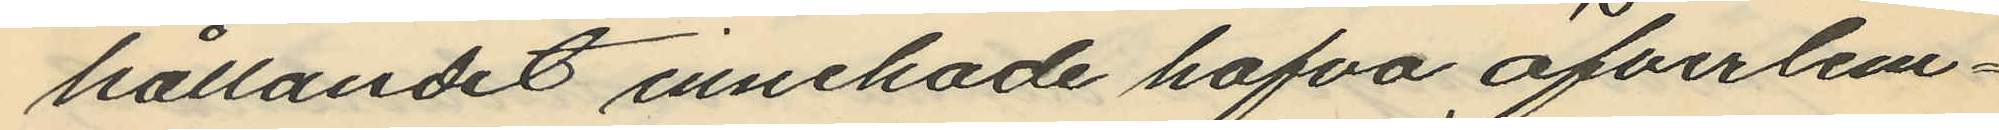hållandet innehade hafva öfverlem¬
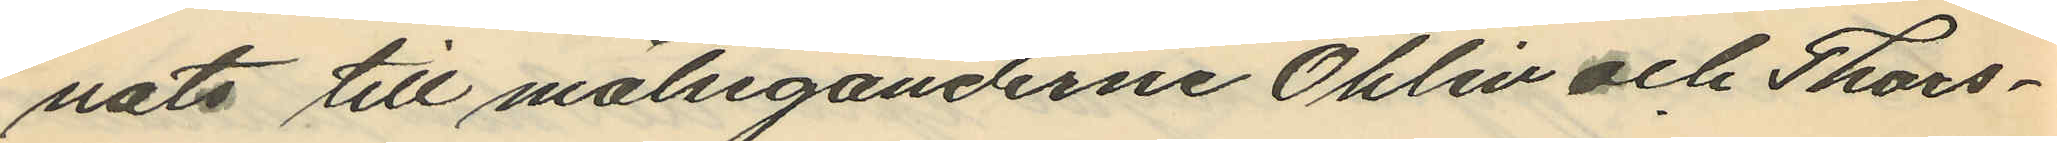nats till målseganderne Öhlin och Thors¬
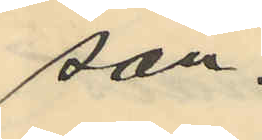son.
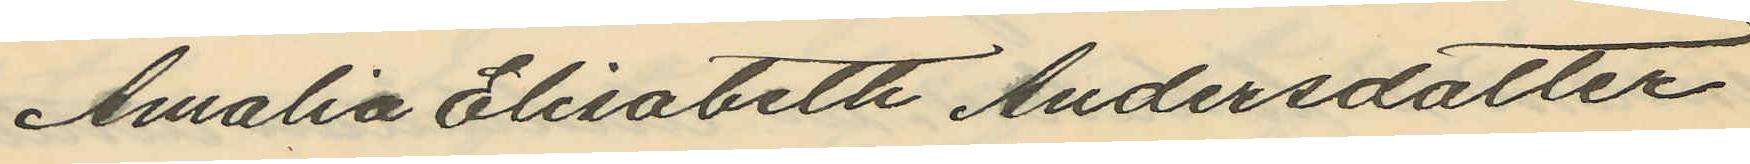Amalia Elisabeth Andersdotter
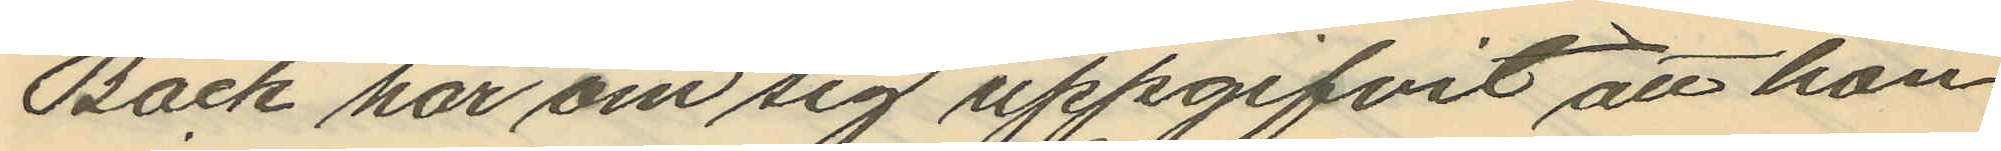Back har om sig uppgifvit att hon
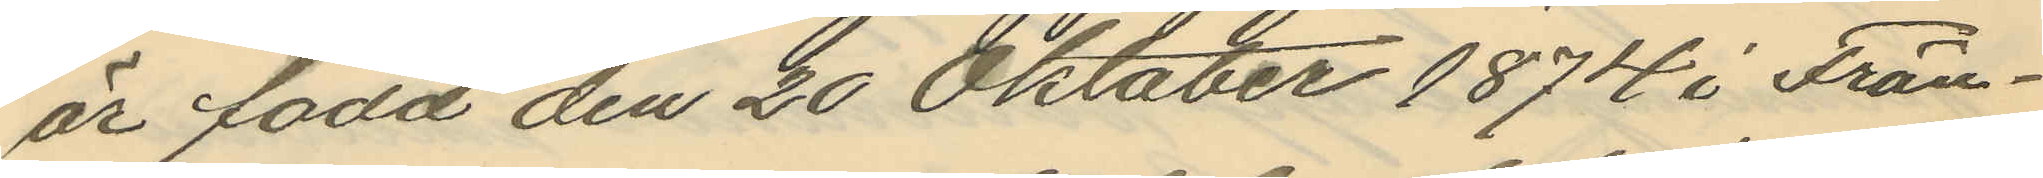är född den 20 Oktober 1874 i Frän¬
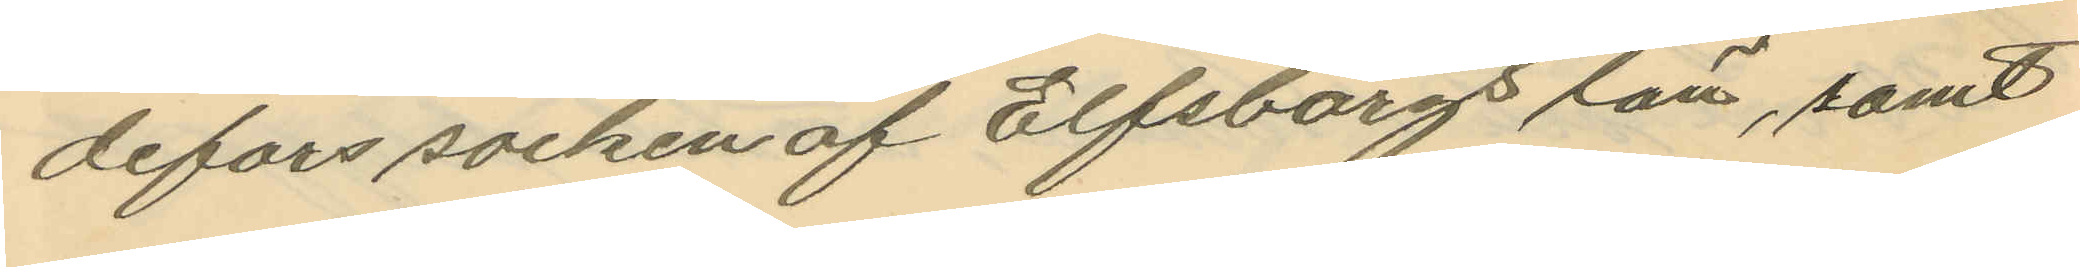defors socken af Elfsborgs län, samt
